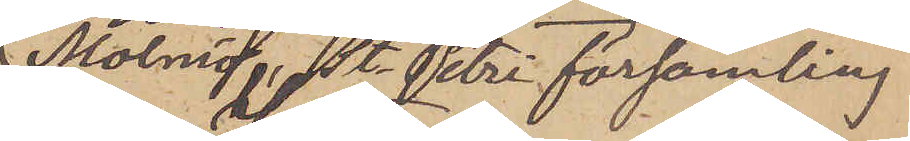Malmö, St. Petri församling
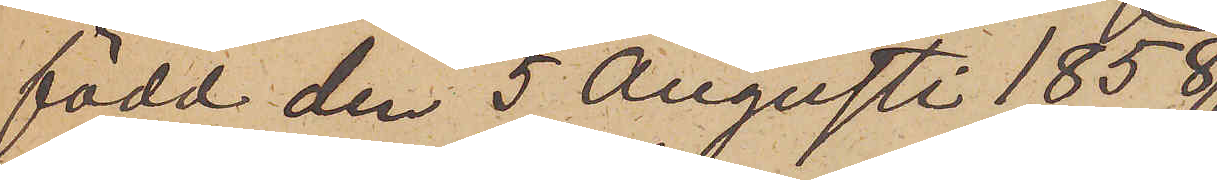född den 5 Augusti 1858
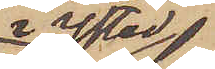i Ystad,
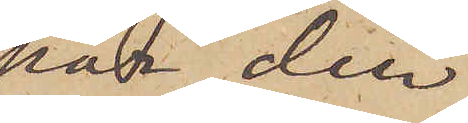har den
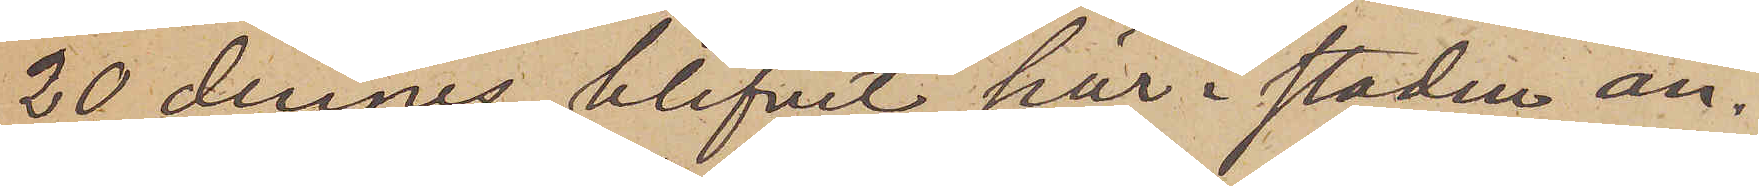20 dennes blifvit här i staden an¬
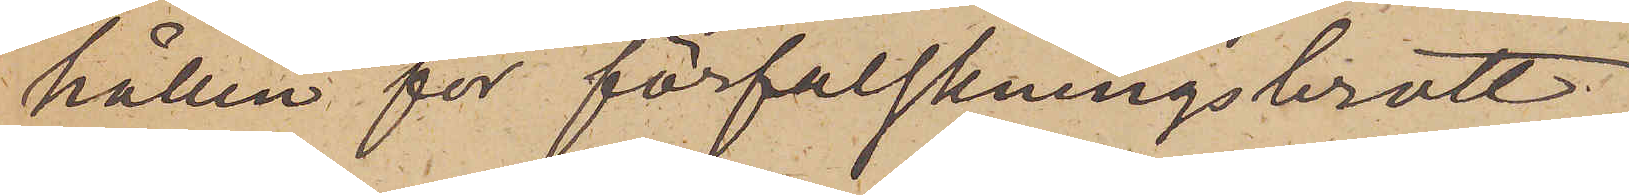hållen för förfalskningsbrott.
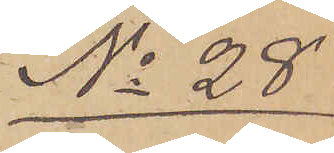No 28
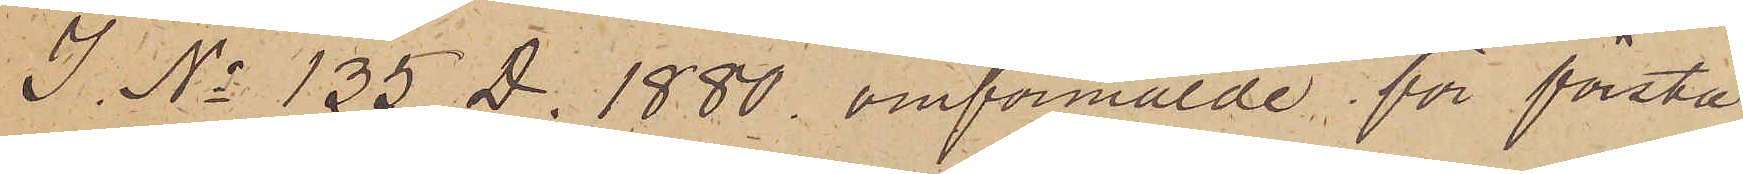I. No 135 D. 1880 omförmälde för första
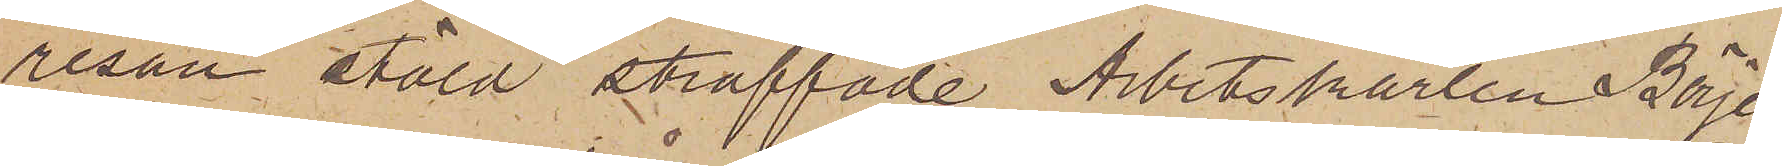resan stöld straffade Arbetskarlen Börje
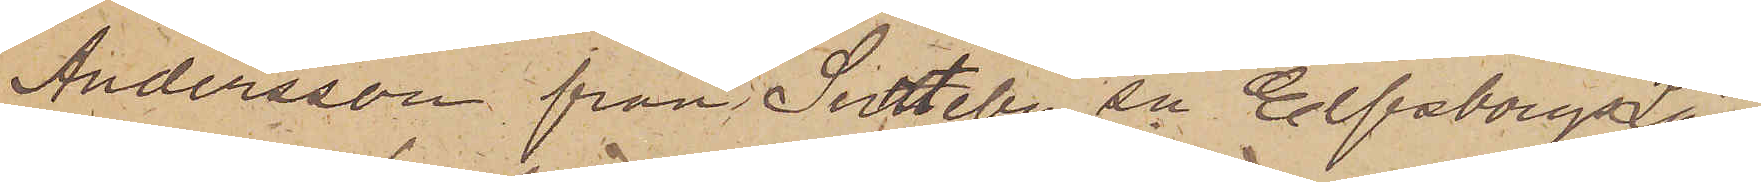Andersson från Surteby sn Elfsborgs Län
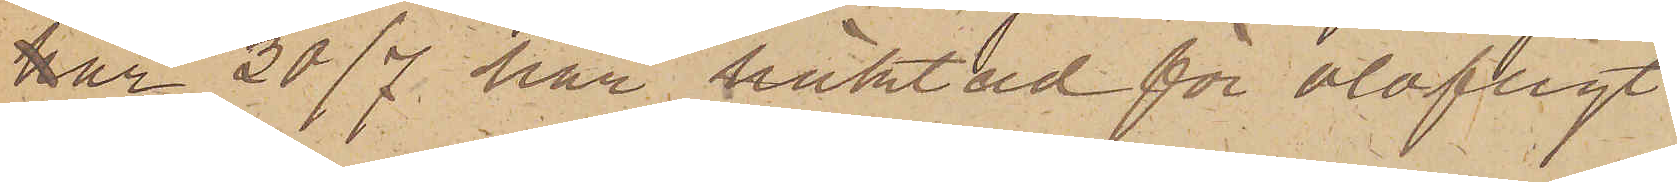är 30/7 här häktad för olofligt
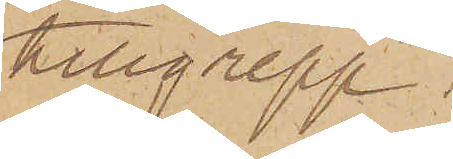tillgrepp.
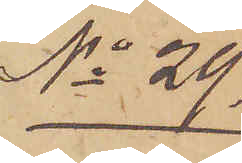No 29
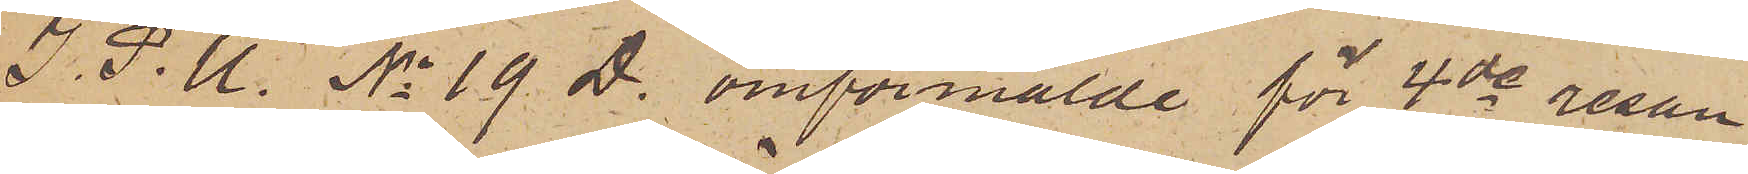I. P. U. No 19. D. omförmälde för 4de resan
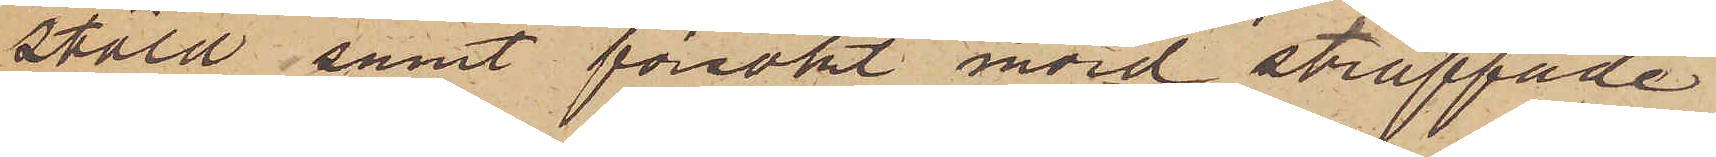stöld samt försökt mord straffade
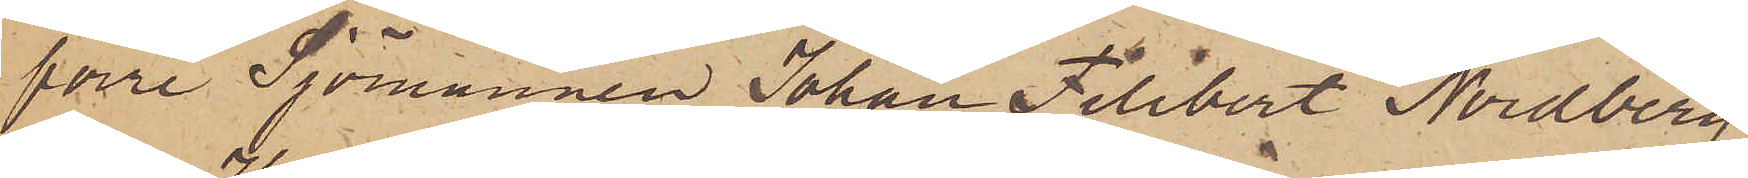förre Sjömannen Johan Filibert Nordberg
